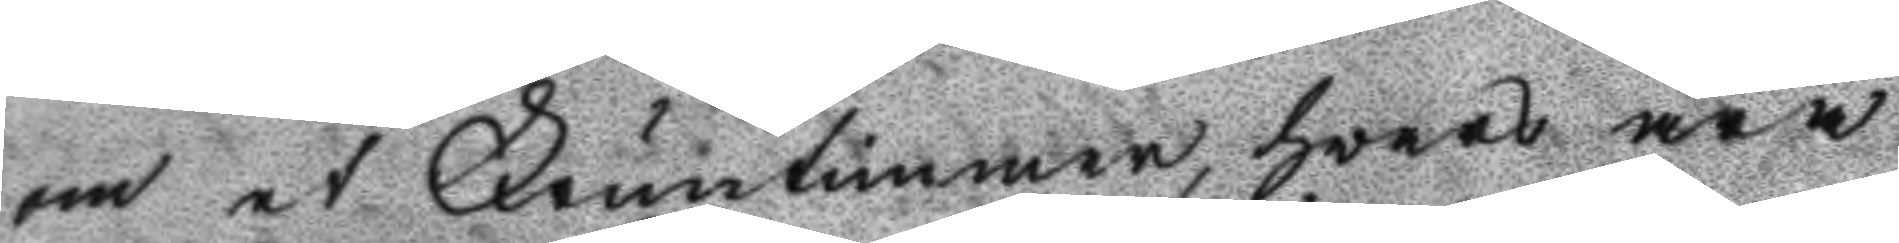om et Fruntimmer, hvars ära
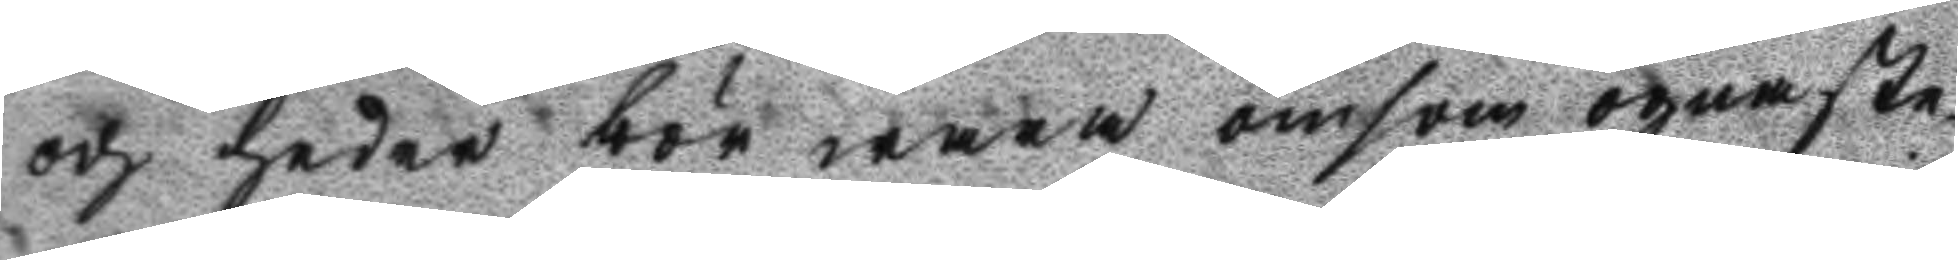och heder bör wara ömsom ögnaste¬
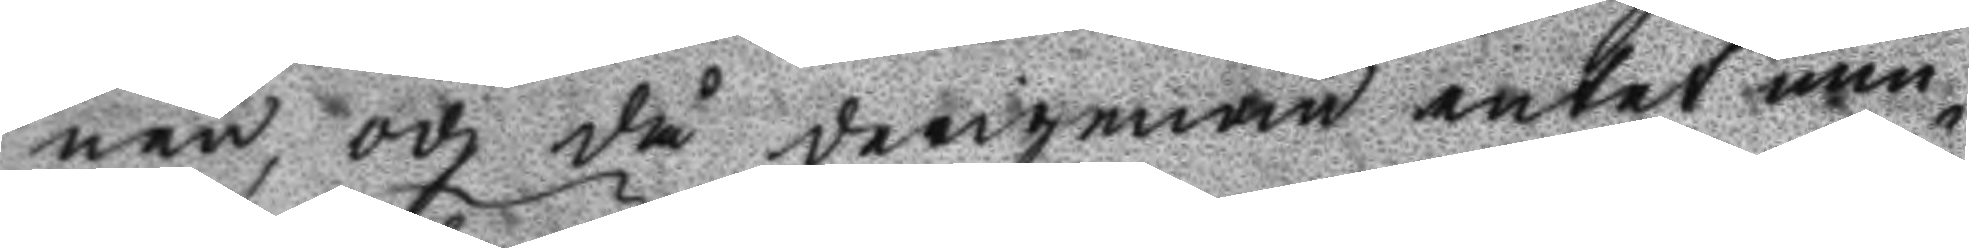nen, och då derigenan intet min¬
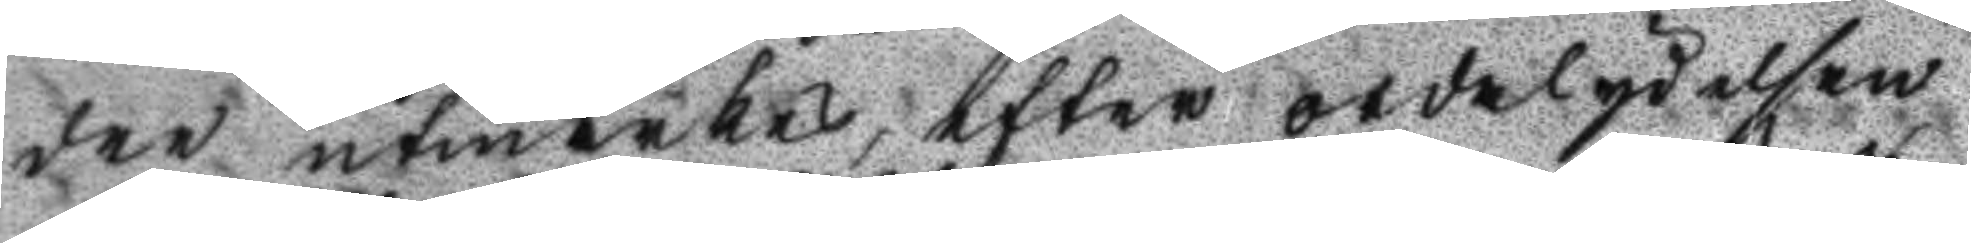dre utmärkes, efter ordalydelsen
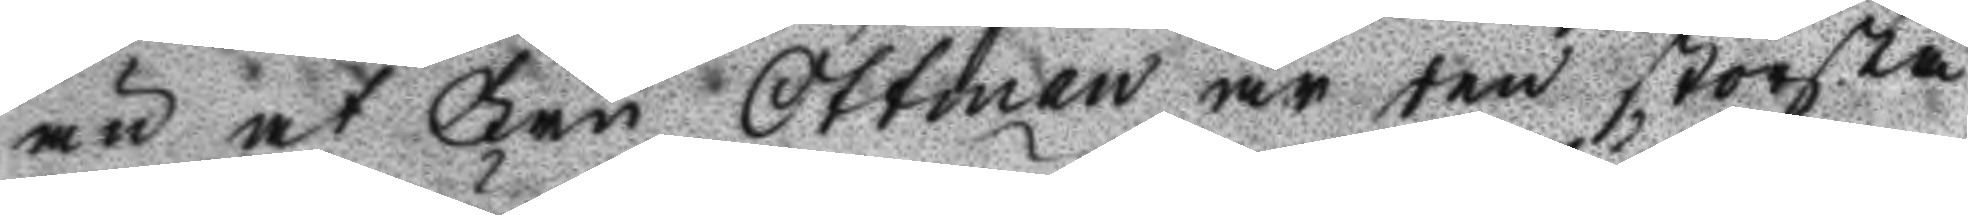än at Fru Ottman är ten största
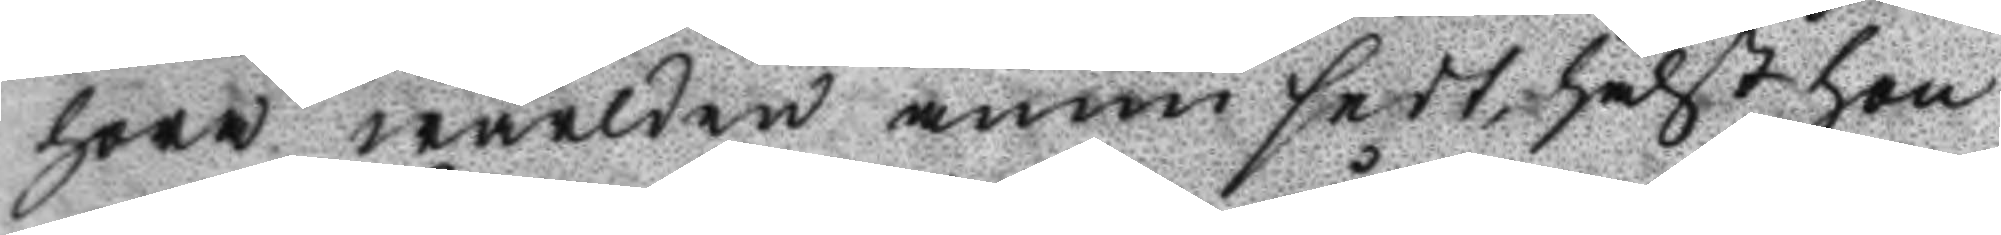hora wärlden ännu sedt, hälst hon
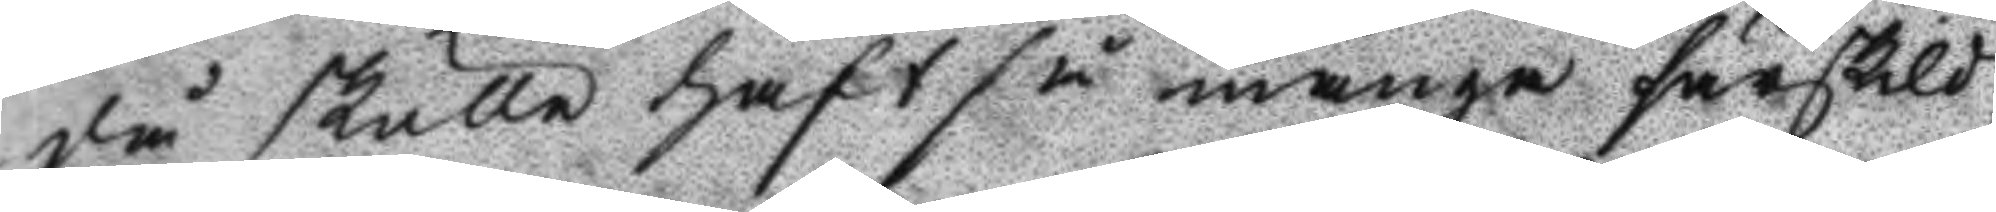då skulle haft så många särskild¬
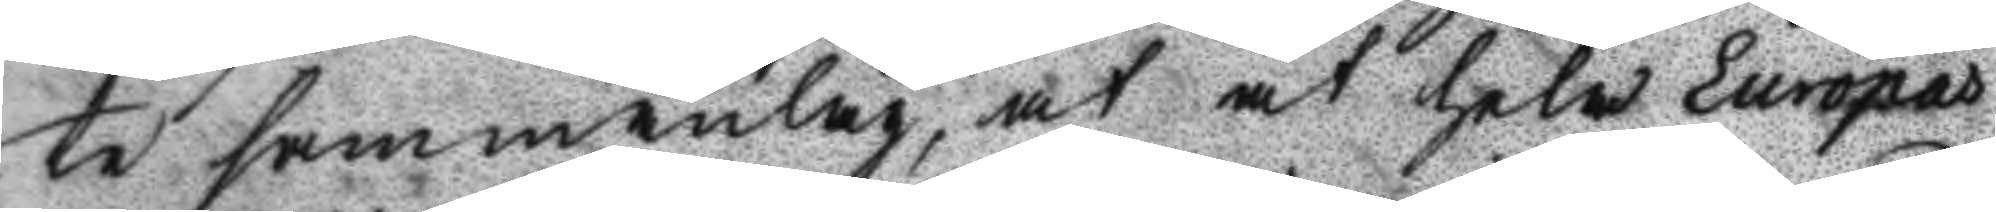te samanlag, at at hela Europas
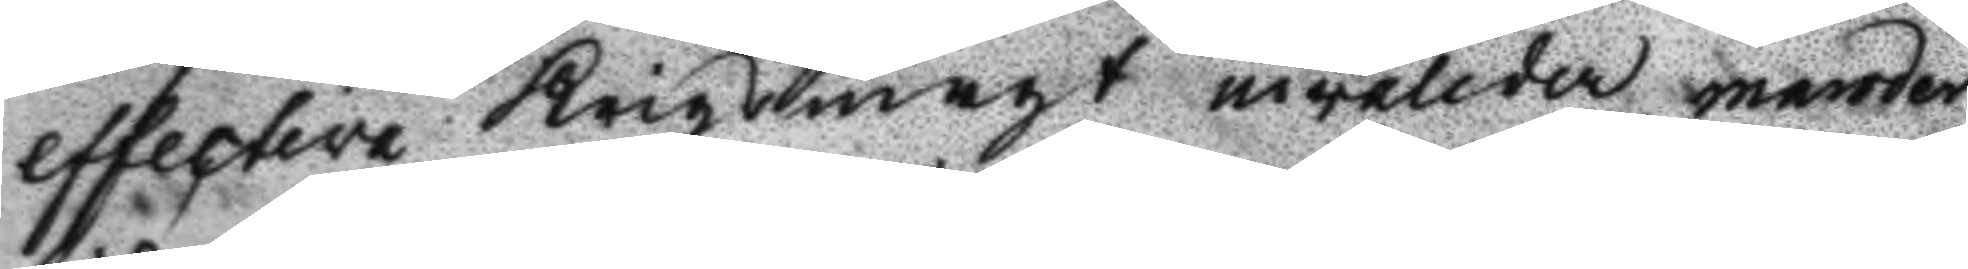effective Krigsmagt invalider mender
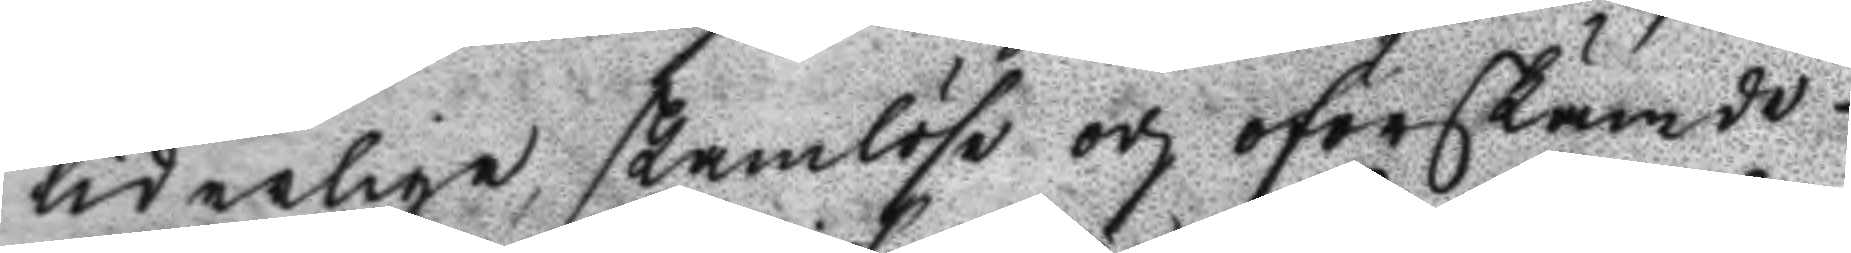liderlige, skamlöse och oförskämde
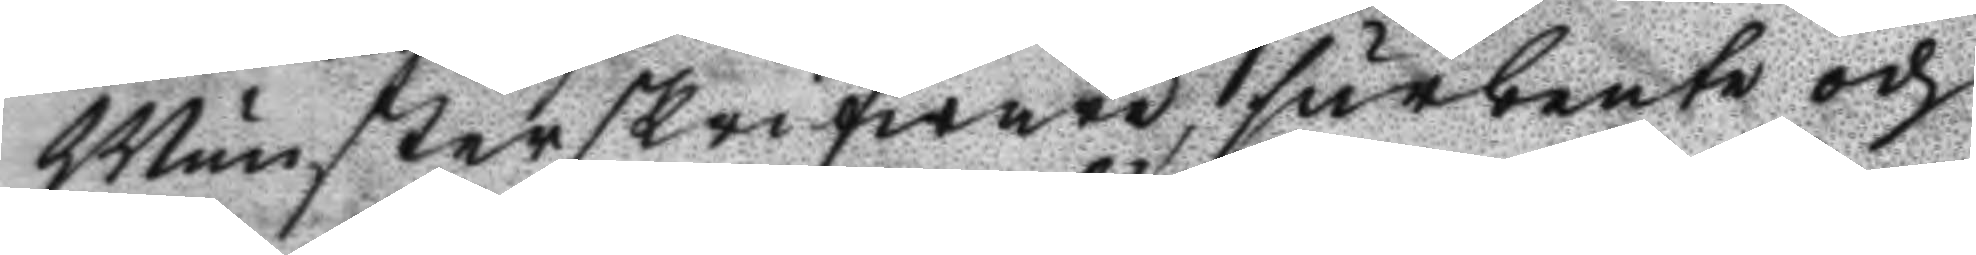Munsterskrifware, furbente och
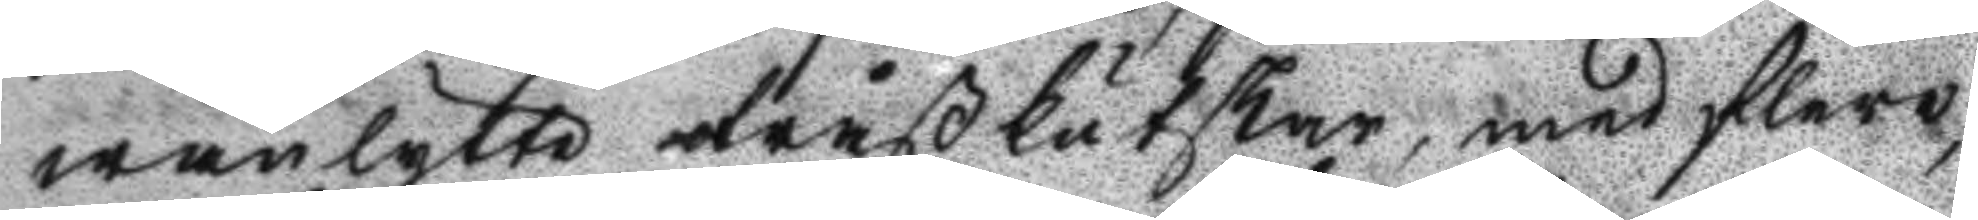wanlytte tråßkutskar, med flere,
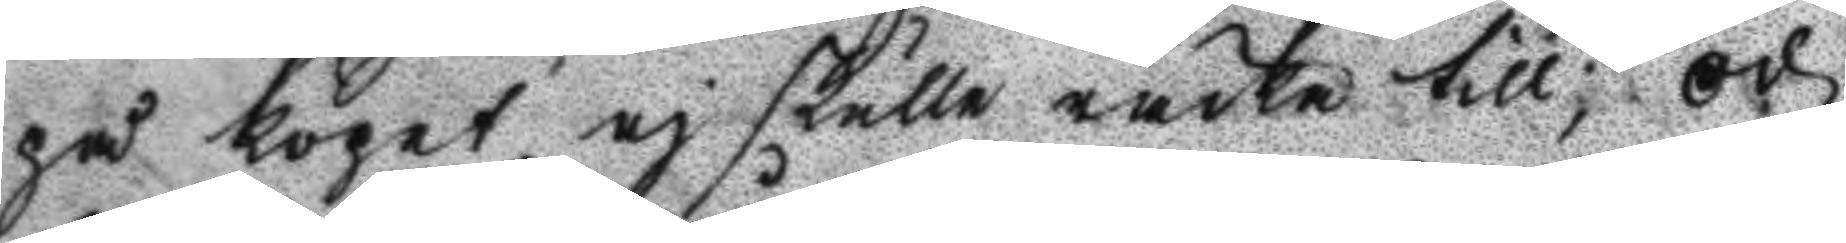på köpet ej skulle räcka till; och
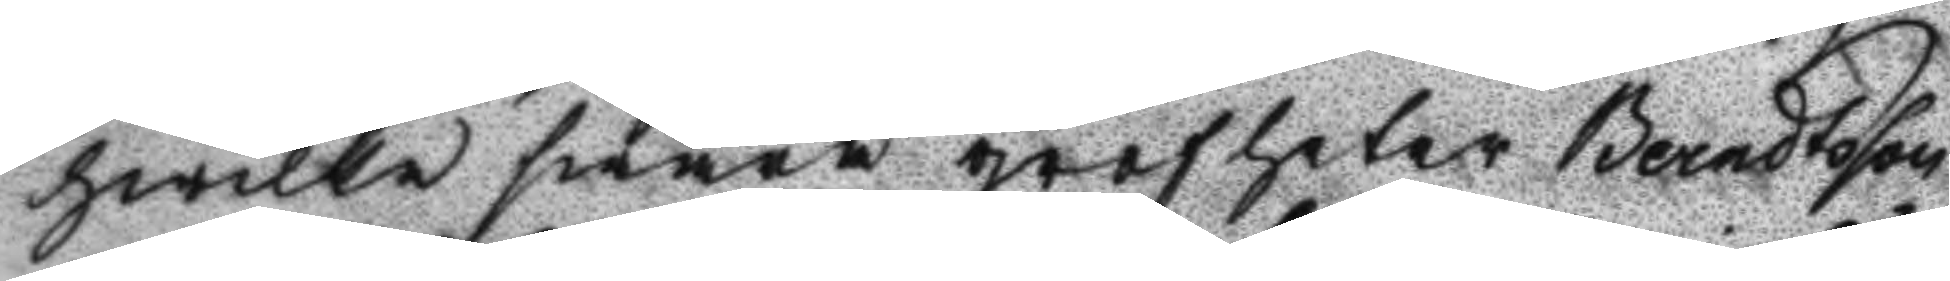hwilka swåra grofheter Berndtsson
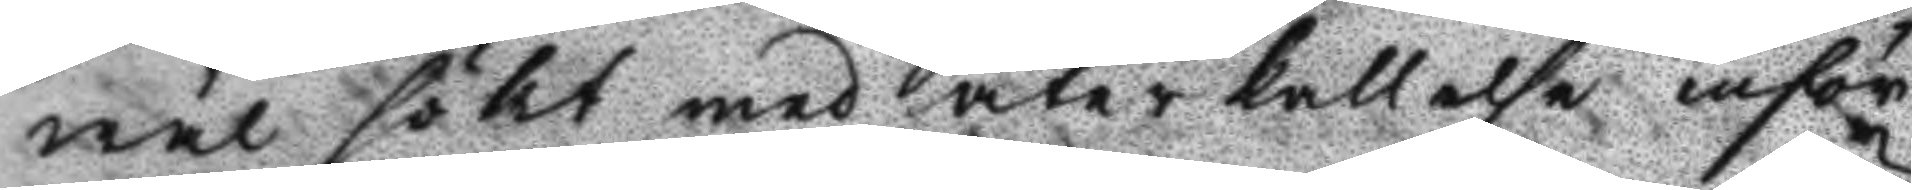wäl sökt med återkallelse inför
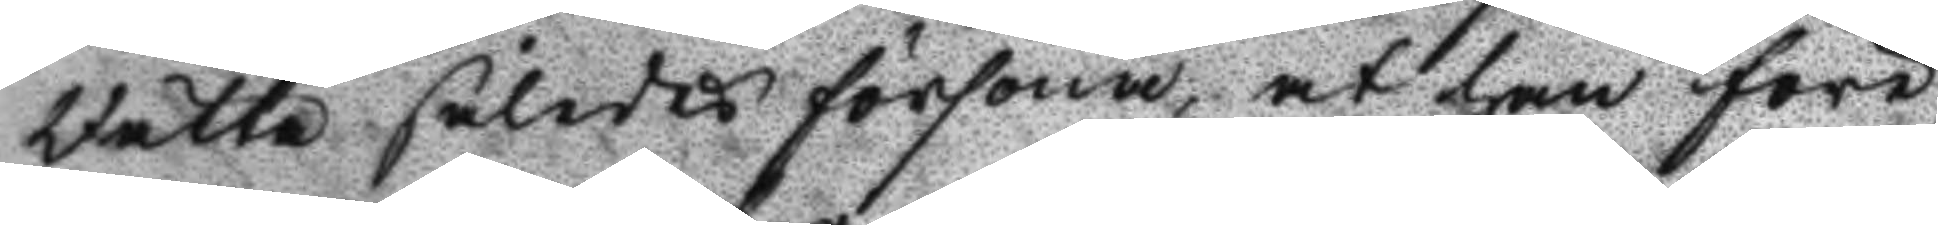Rätta således försona, at han före¬
